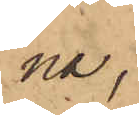na,
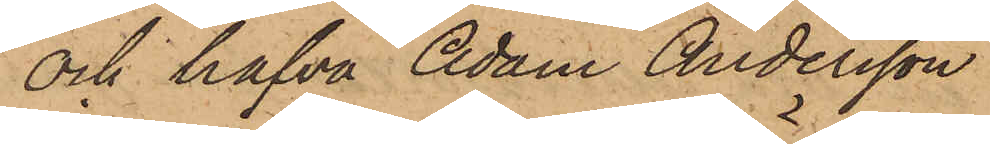och hafva Adam Andersson
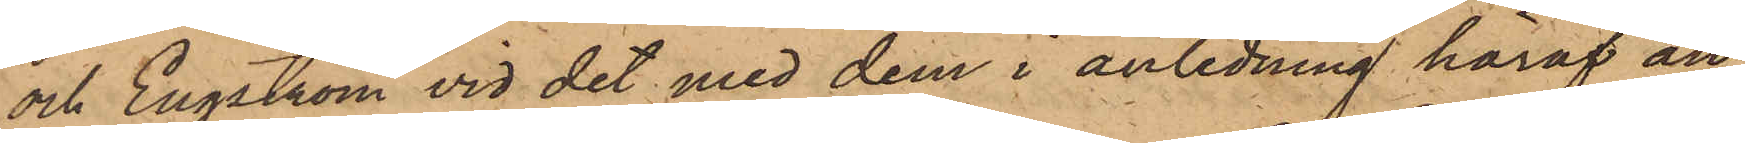och Engström vid det med dem i anledning häraf an¬
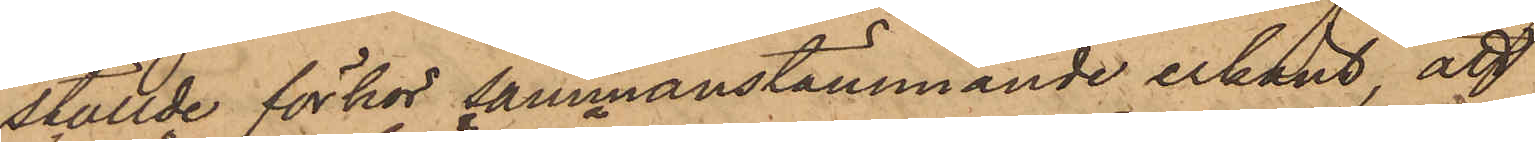ställde förhör sammanstämmande erkänt, att
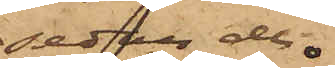sedan de
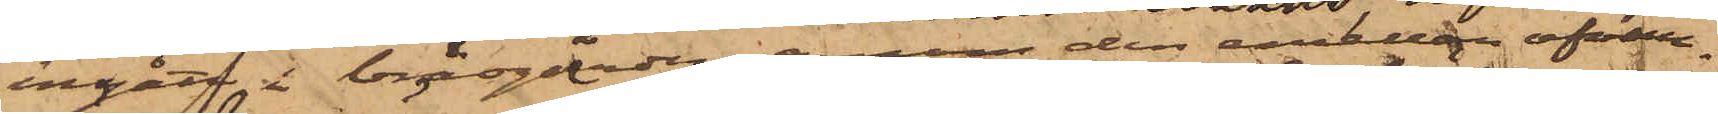ingått i brädgården genom den emellan ofvan¬
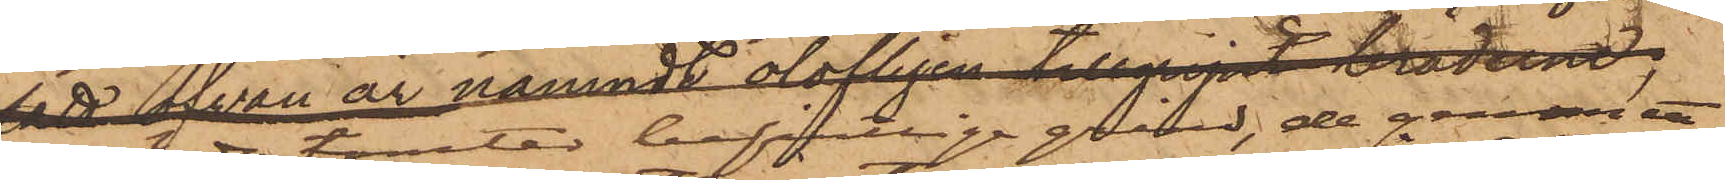berörde tomter befintlige grind, de genom ett
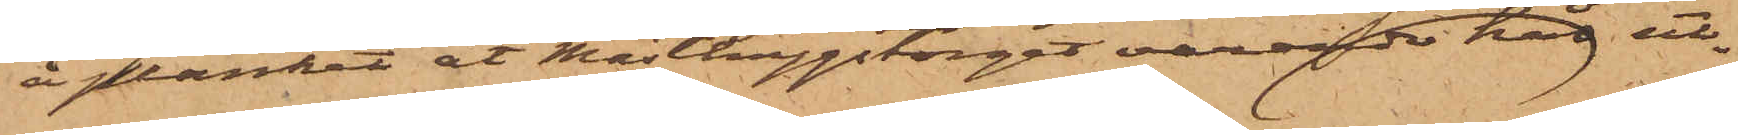å planket åt Masthuggstorget varande hål ut¬
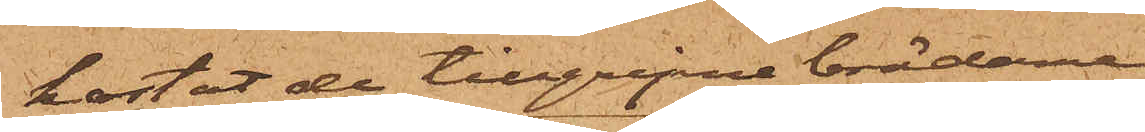kastat de tillgripne bräderne
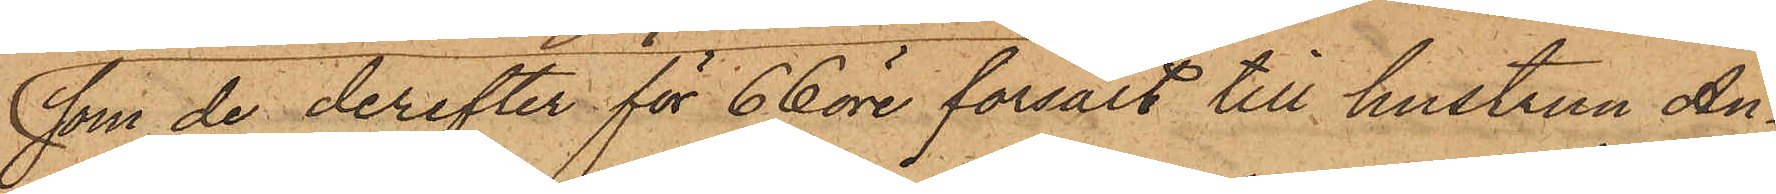som de derefter för 66 öre försålt till hustrun An¬
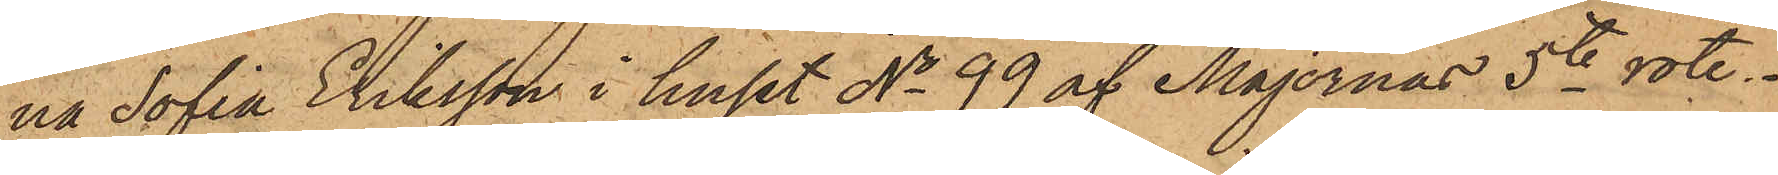na Sofia Eriksson i huset No 99 af Majornas 5te rote.
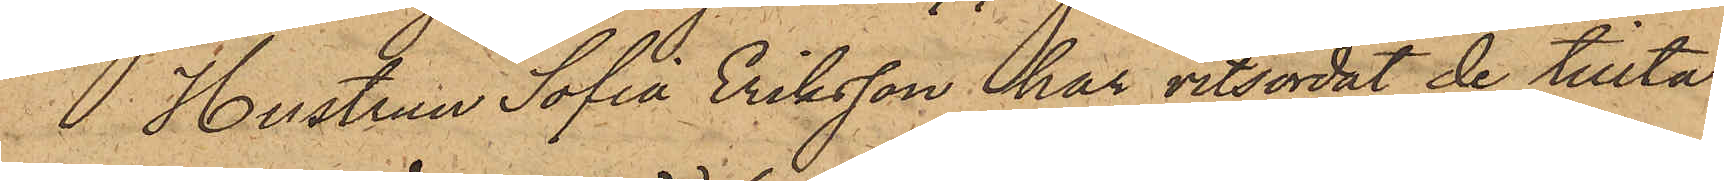Hustrun Sofia Eriksson har vitsordat de tillta¬
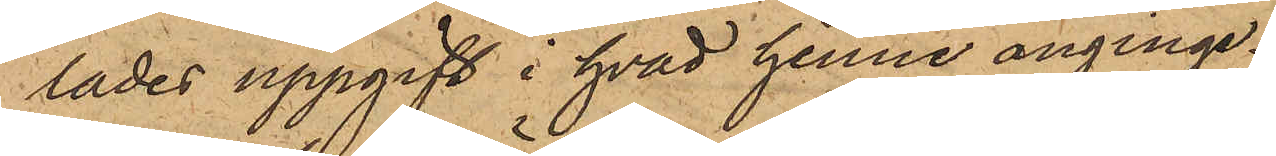lades uppgift i hvad henne anginge.
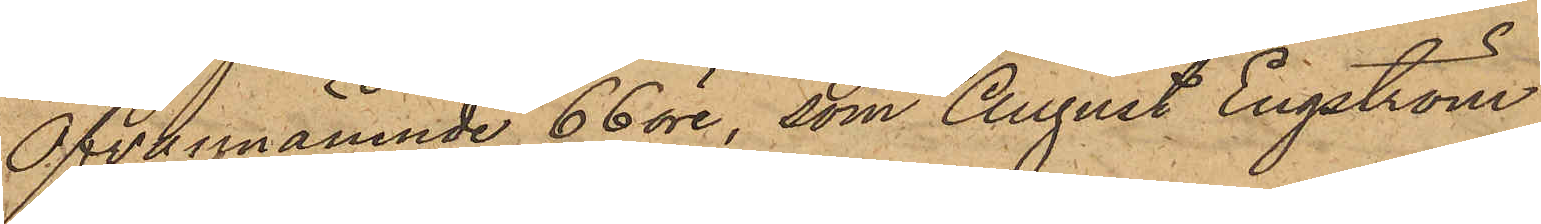Ofvannämnde 66 öre, som August Engström
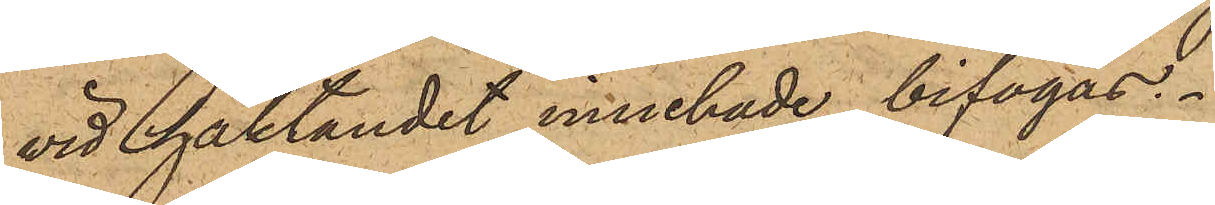vid häktandet innehade, bifogas.
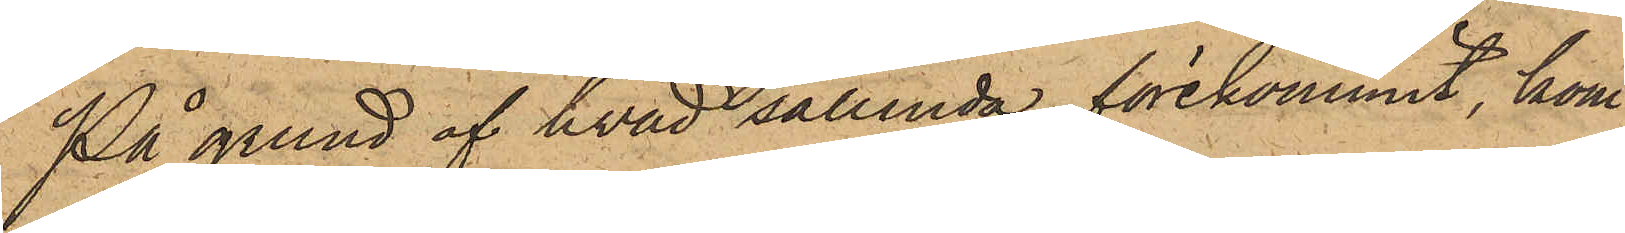På grund af hvad sålunda förekommit, kom¬
